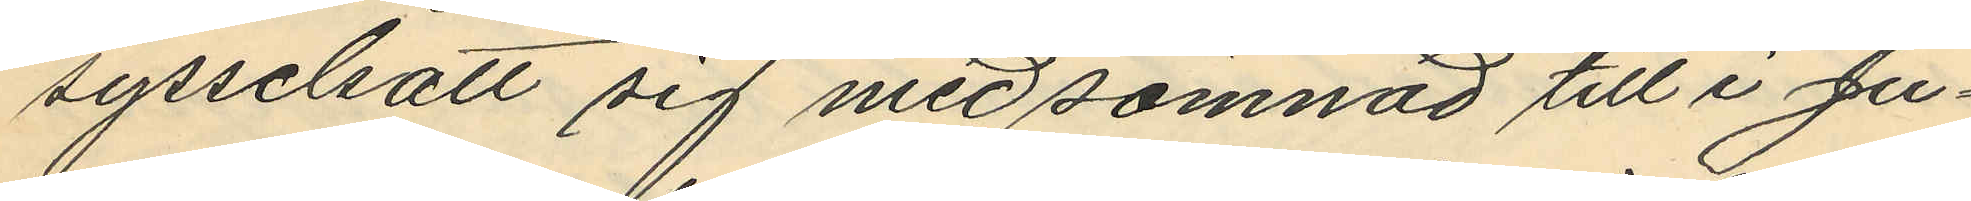sysselsatt sig med sömnad till i Ju¬
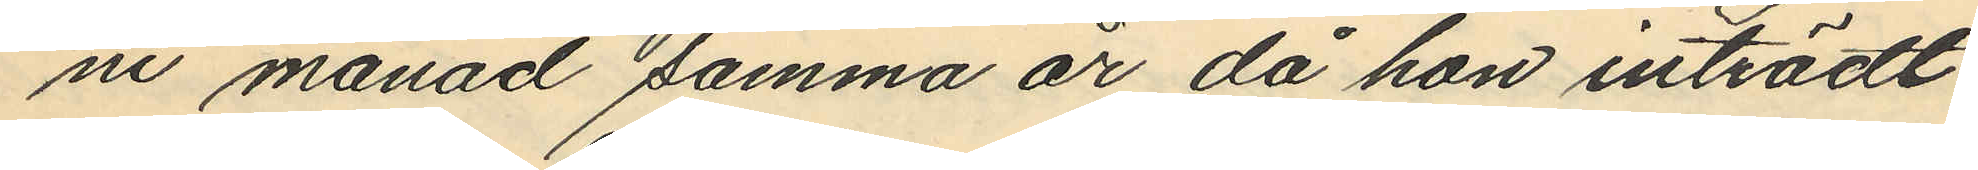ni månad samma år då hon inträdt
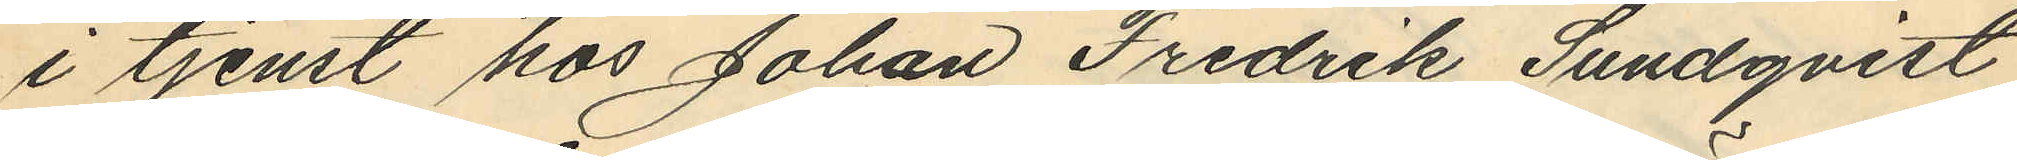i tjenst hos Johan Fredrik Sundqvist
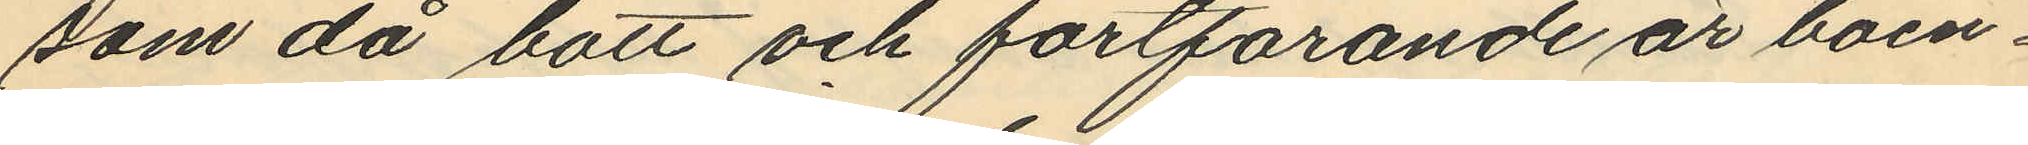som då bott och fortfarande är boen¬
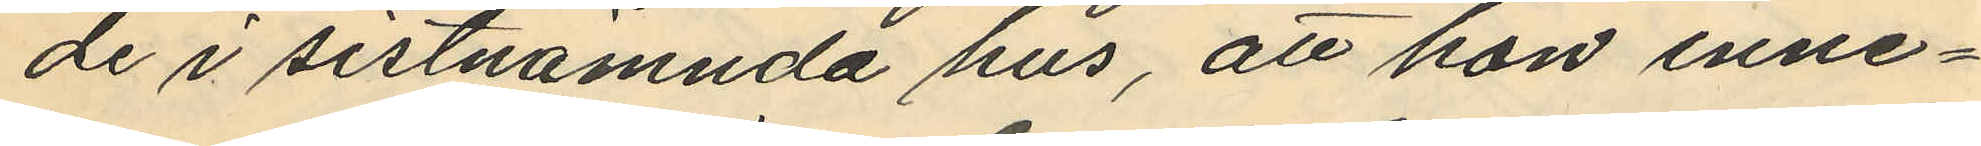de i sistnämnda hus, att hon inne¬
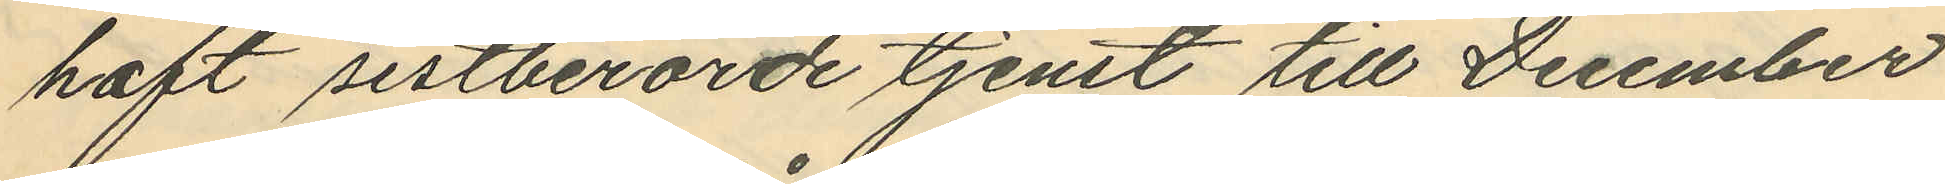haft sistberörde tjenst till December
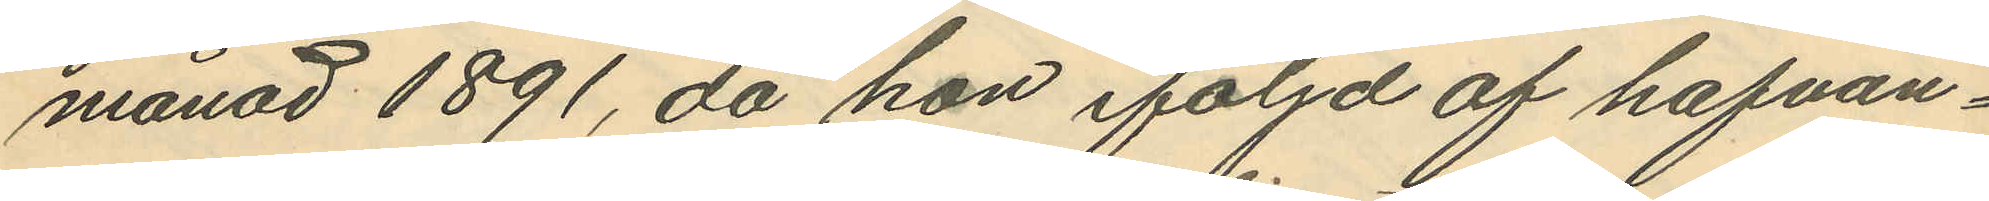månad 1891, då hon följd af hafvan¬
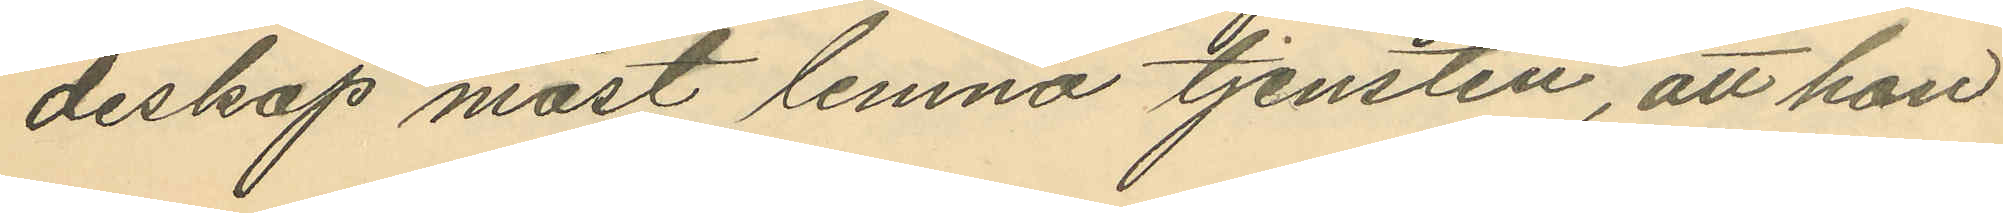deskap måst lemna tjensten, att hon
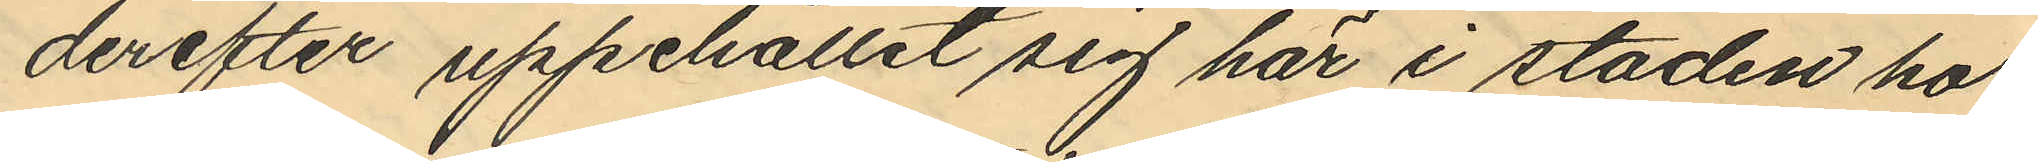derefter uppehållit sig här i staden hos
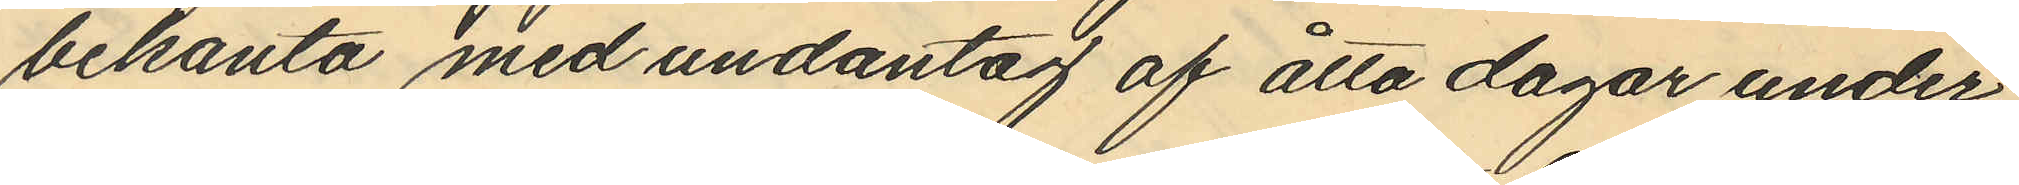bekanta med undantag af åtta dagar under
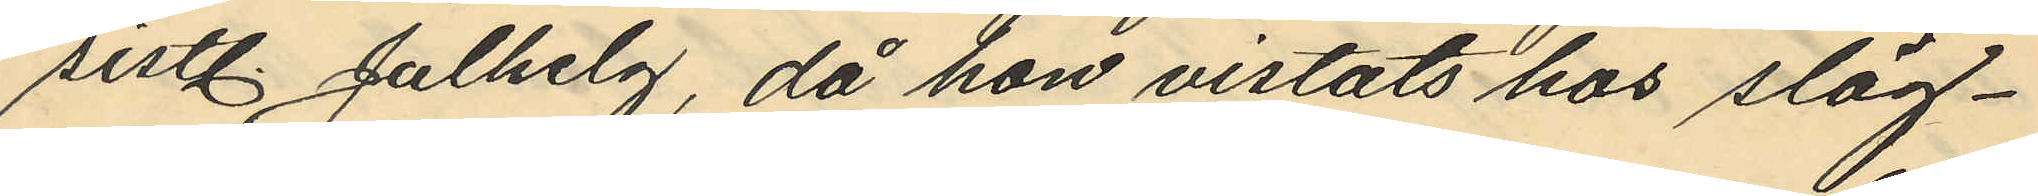sistl. Julhelg, då hon vistats hos släg¬
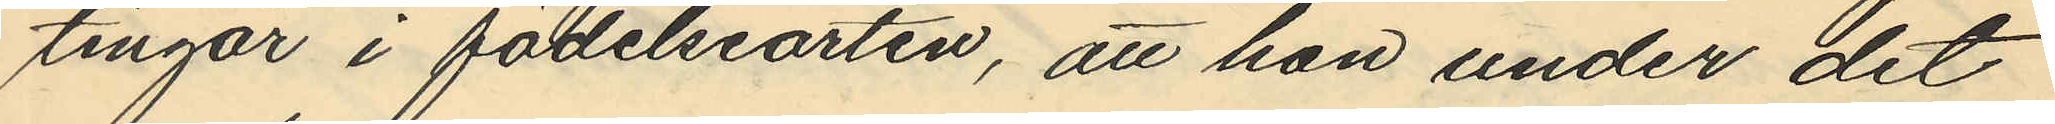tingar i födelseorten, att hon under det
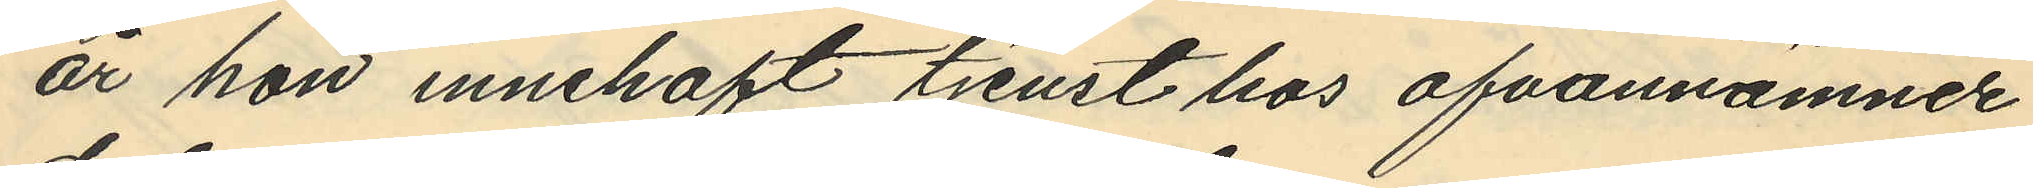år hon innehaft tjenst hos ofvannämnde
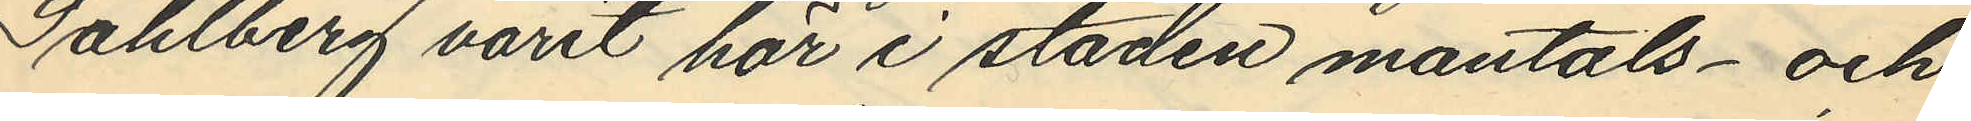Sahlberg varit här i staden mantals- och
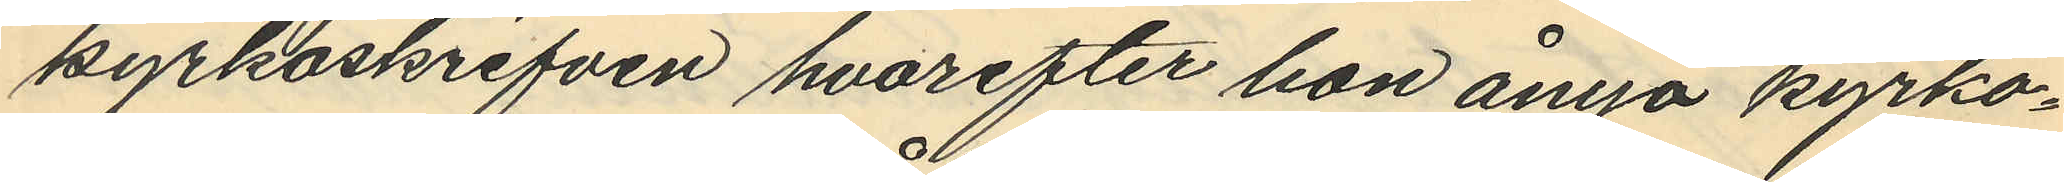kyrkoskrifven hvarefter hon ånyo kyrko¬
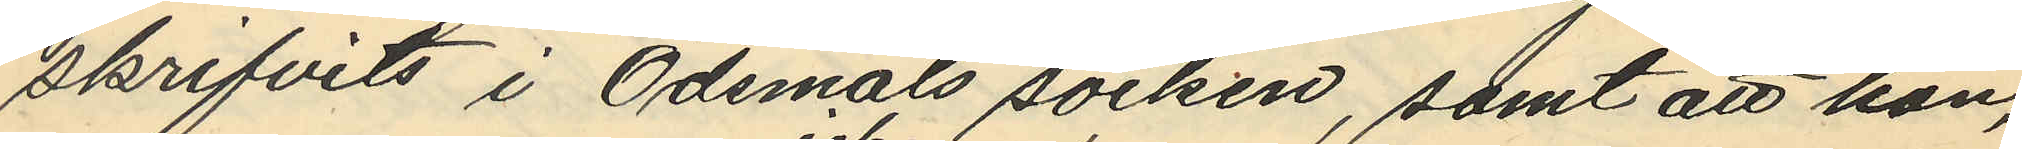skrifvits i Ödsmåls socken, samt att hon,
